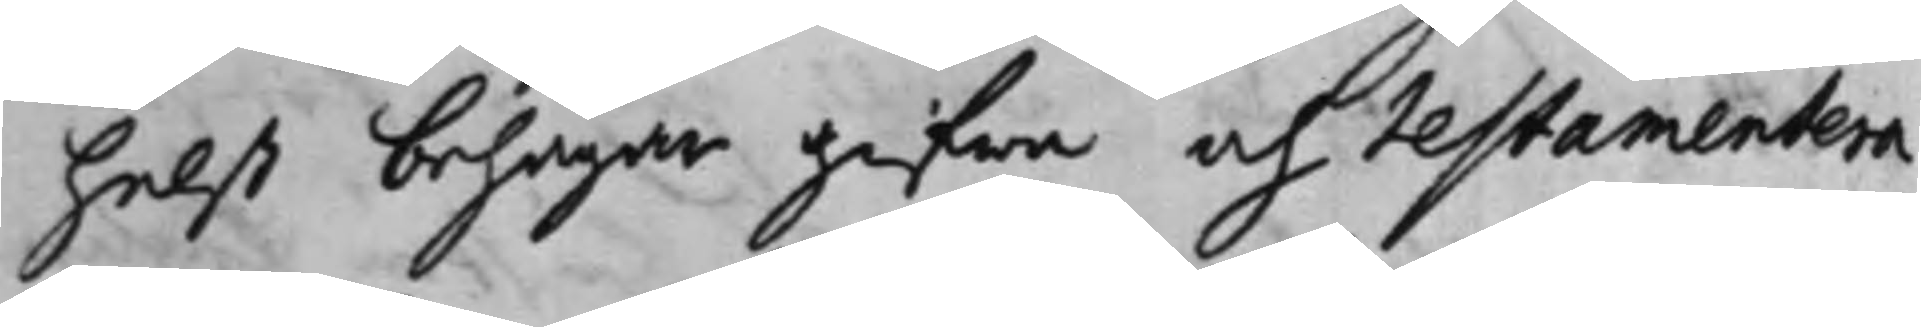helst behagar gifwa och testamentera,
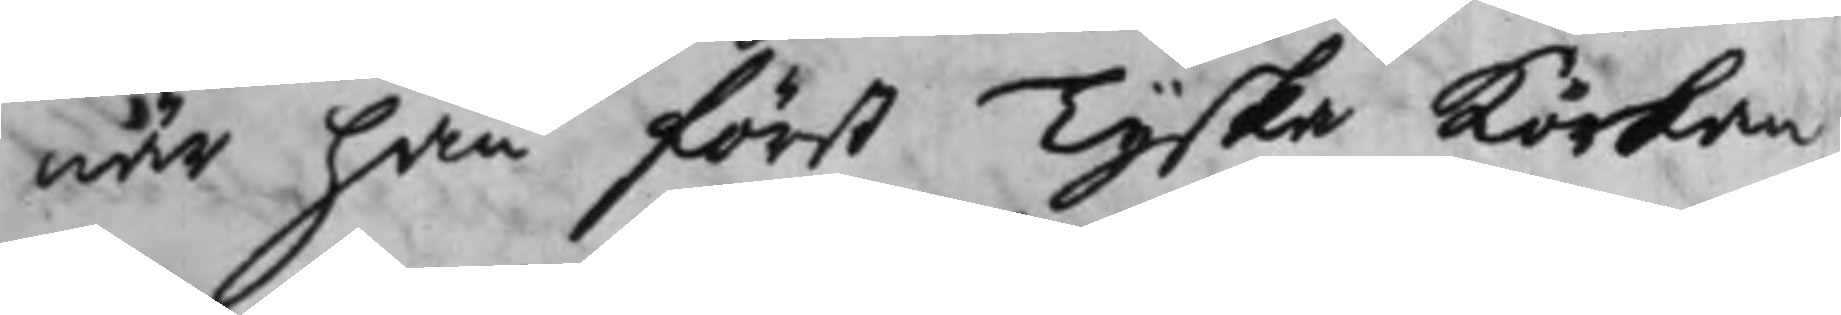när han först Tyska Körkan,
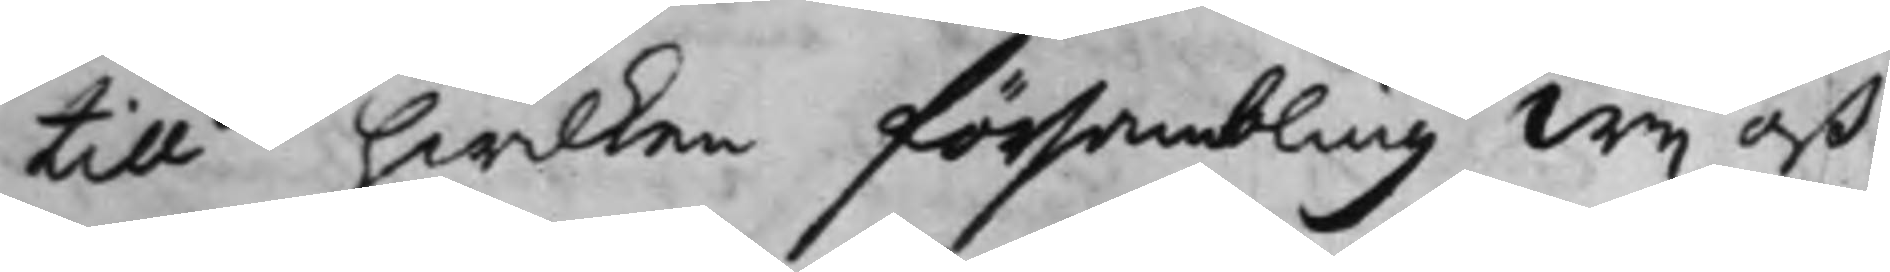till hwilken försambling Wij oß
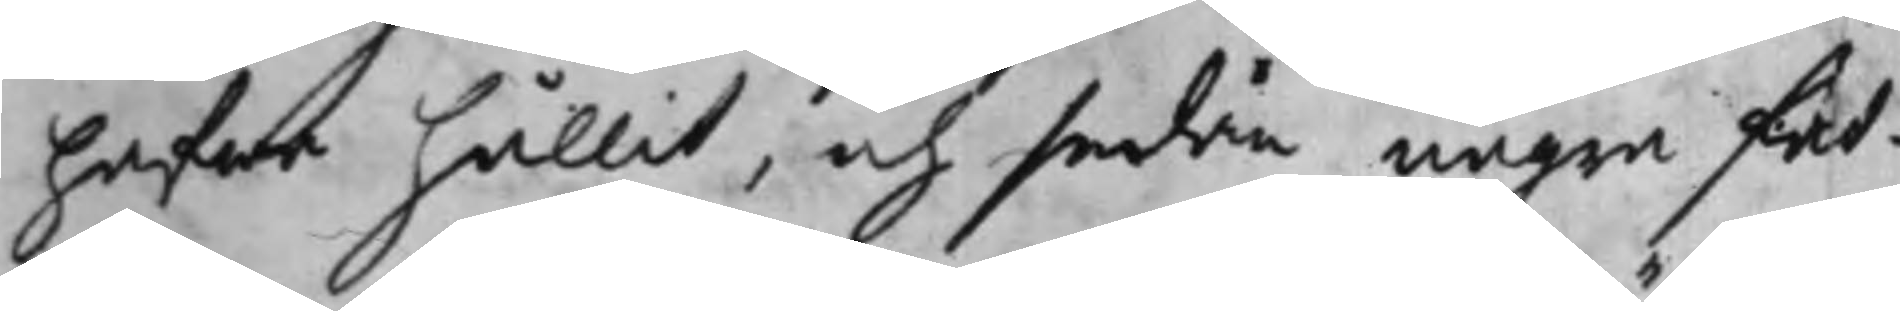hafwa hållit, och sedan några fat¬
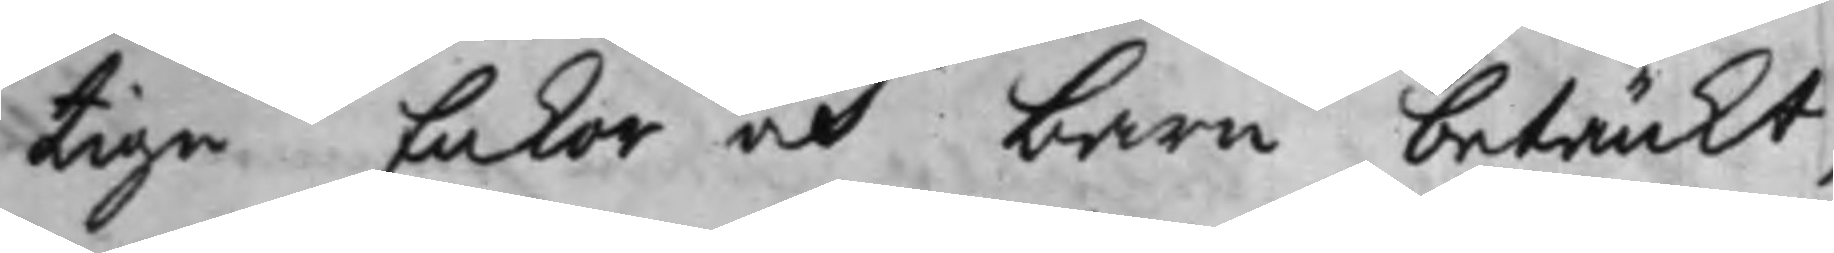tiga Enkor och barn betänkt,
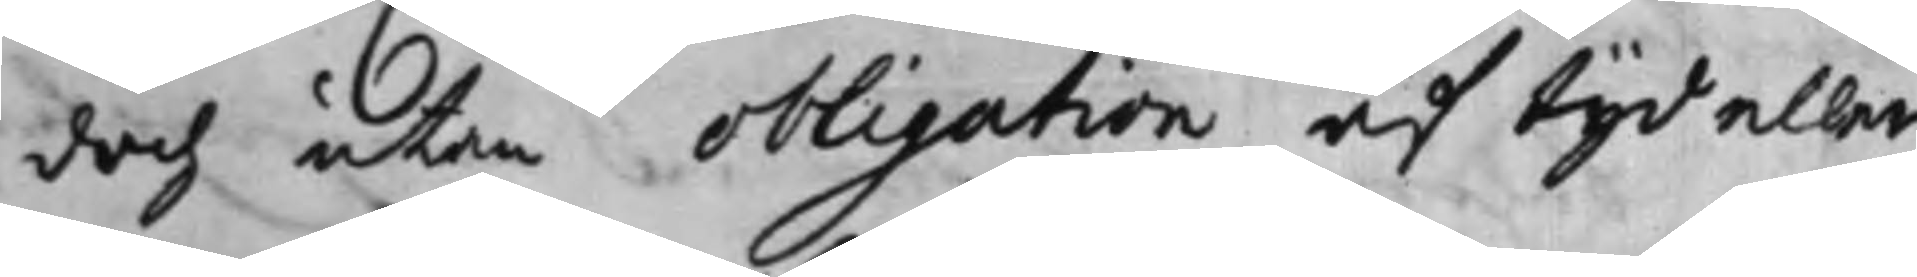doch utan obligation af tijd eller
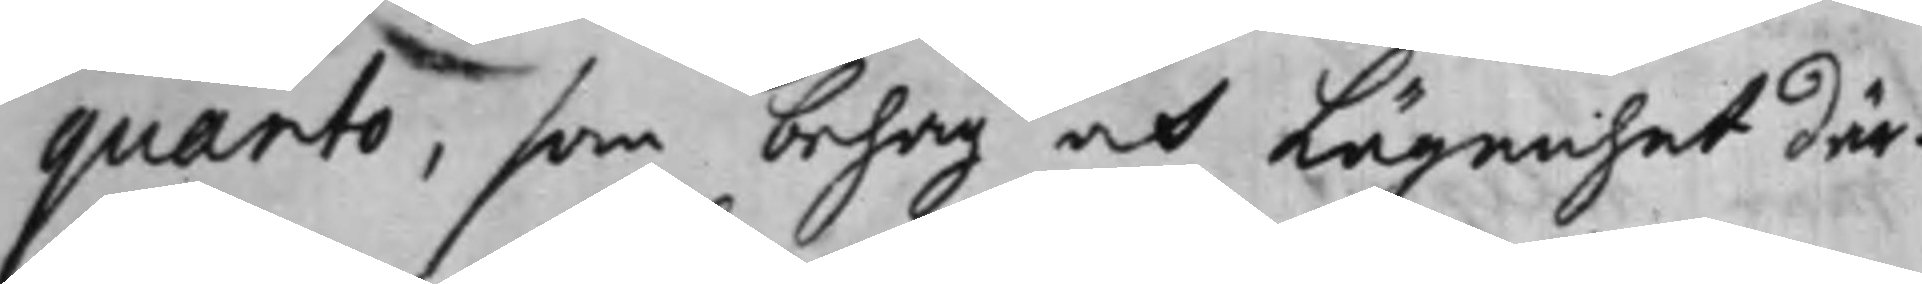quarto, som behag och lägenhet där¬
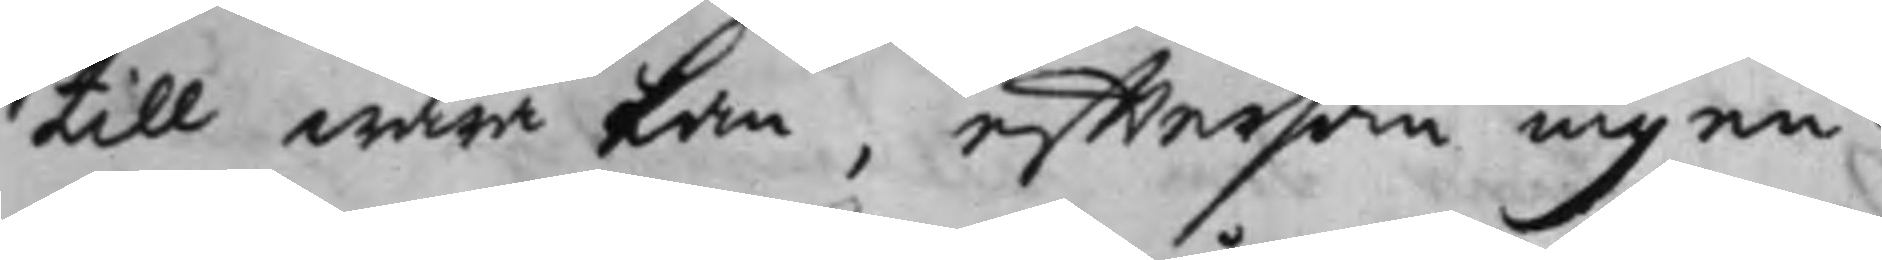till wara kan, efftersom ingen¬
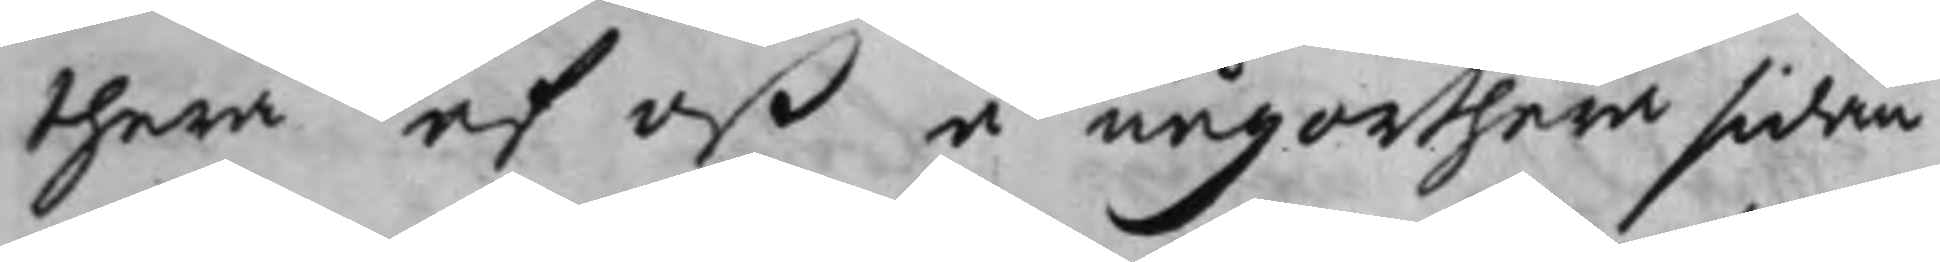thera af oß å någonthera sidan
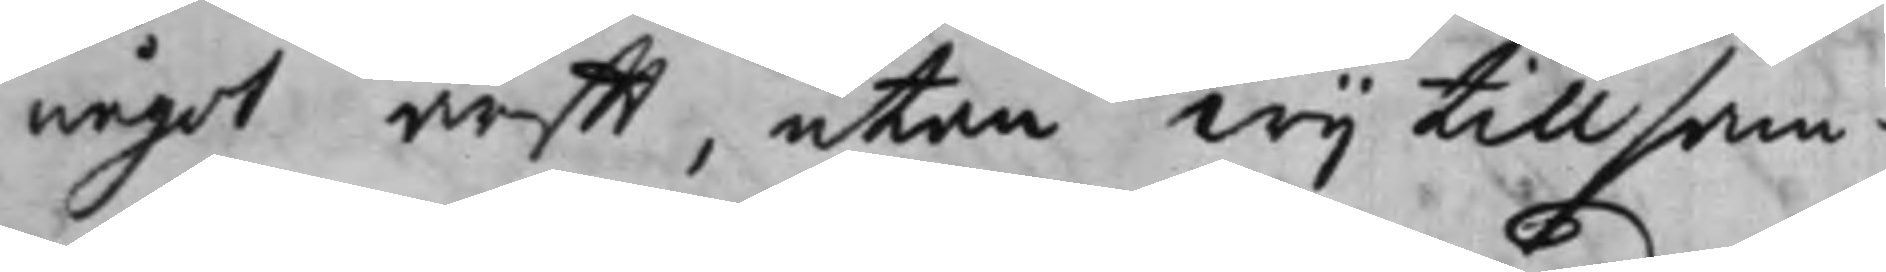något ärfft, utan Wij tillsam¬
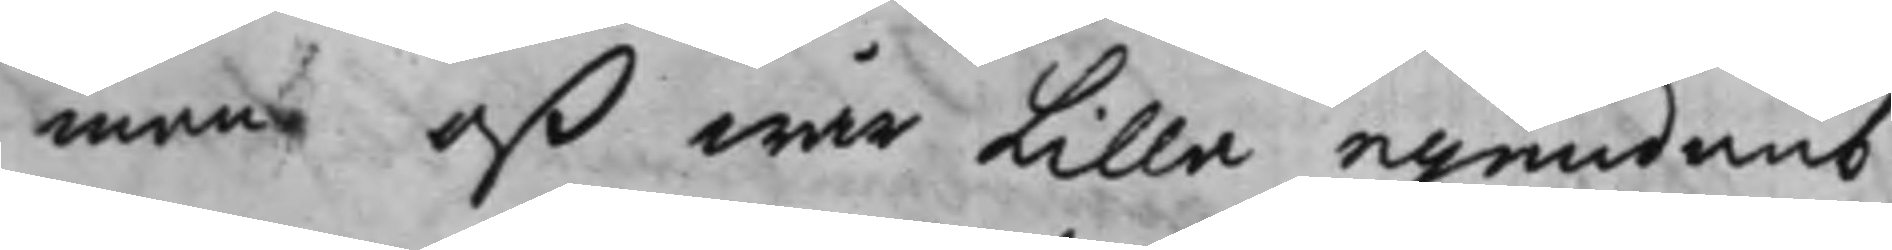man oß wår lilla egendomb
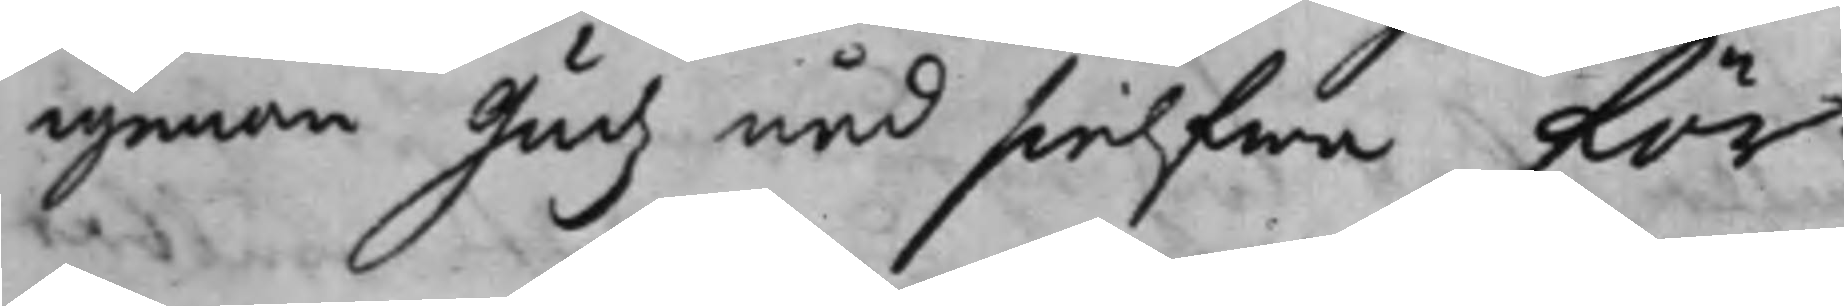igenom Gudz nåd sielfwa för¬
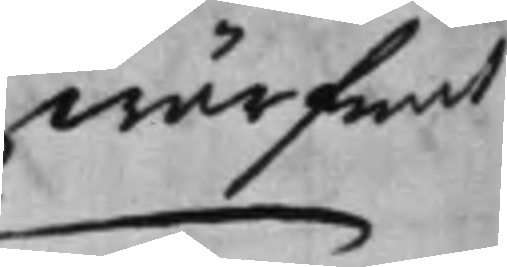wärfwat
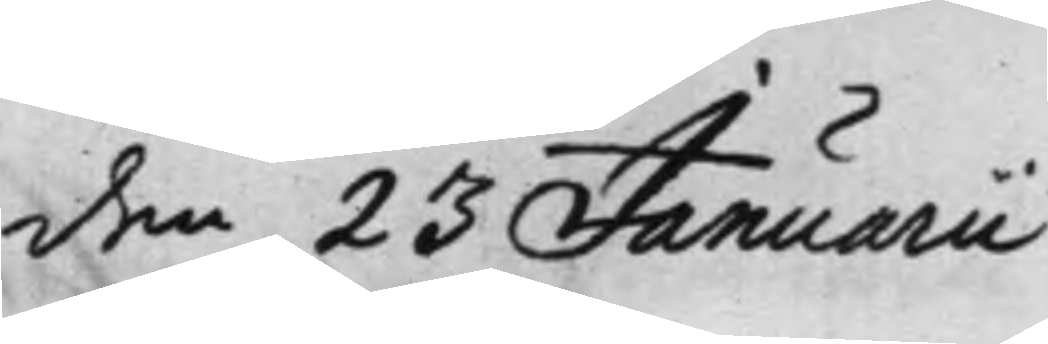den 23 Januarii
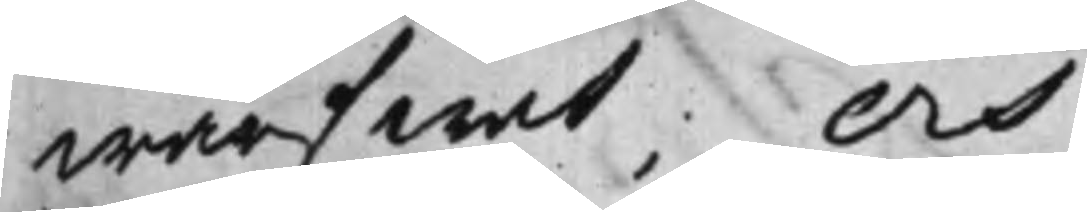wärfwat, Och
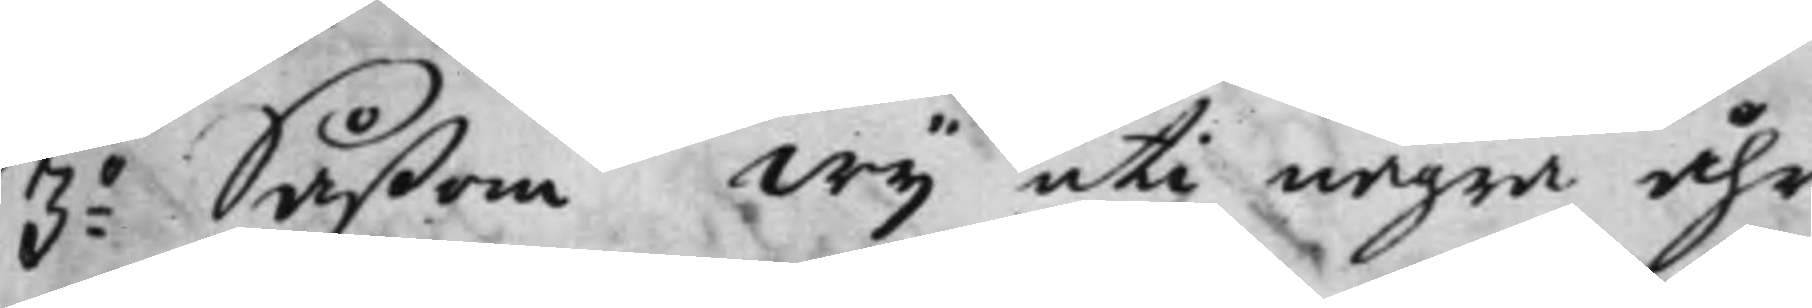3:o Såßom Wij uti några åhr
